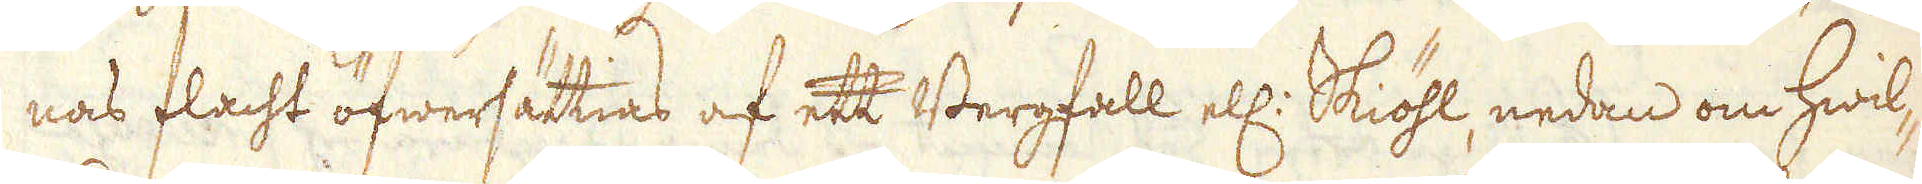nas flacht öfwersättias af ett Bergfall ell: Skiöhl, nedan om hwil-
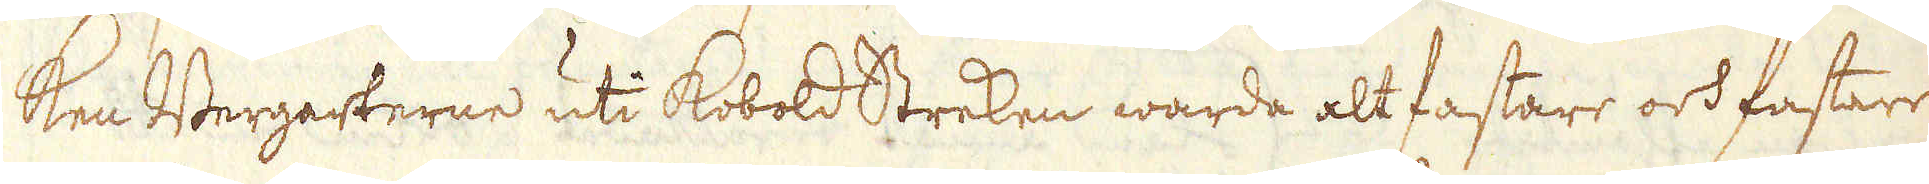ken Bergarterne uti Kobold Streken warda alt fastare och fastare
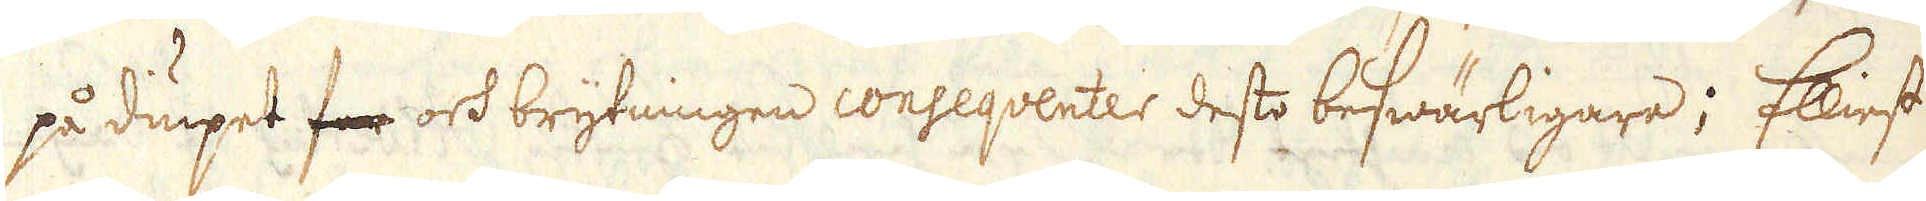på diupet far och brytningen conseqventer desto beswärligare; Elliest
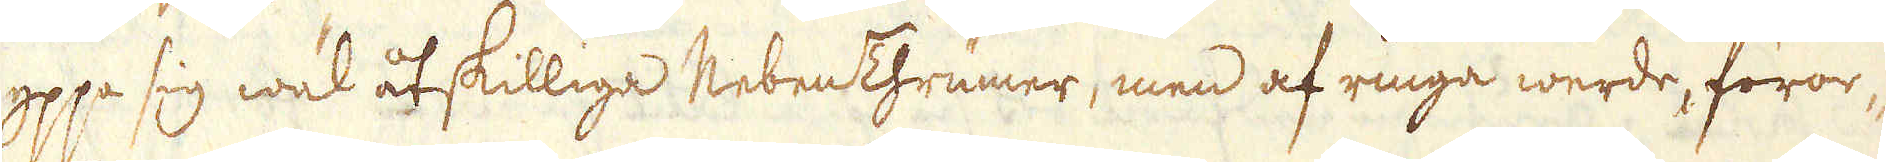yppa sig wäl åtskilliga NebenThrumer, men af ringa werde, föror-
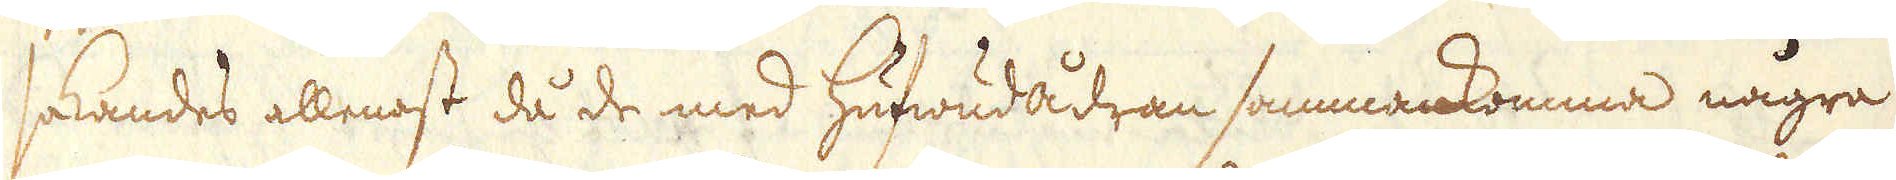sakandes allenast då de med hufwudådran sammankomma några
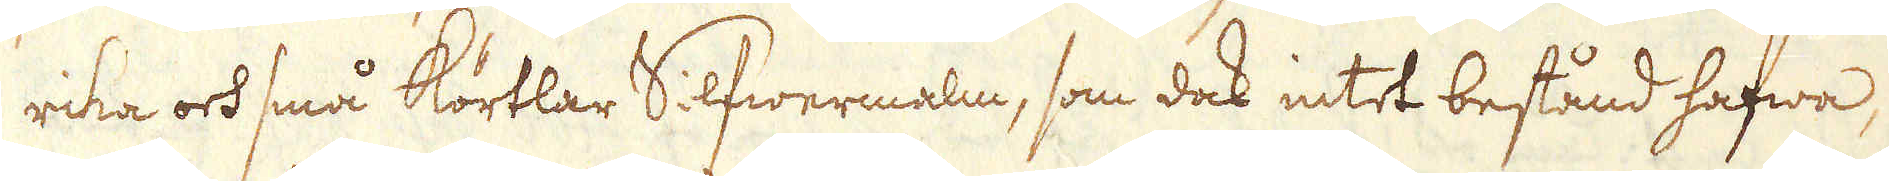rika och små körtlar Silfwermalm, som dock intet bestånd hafwa,
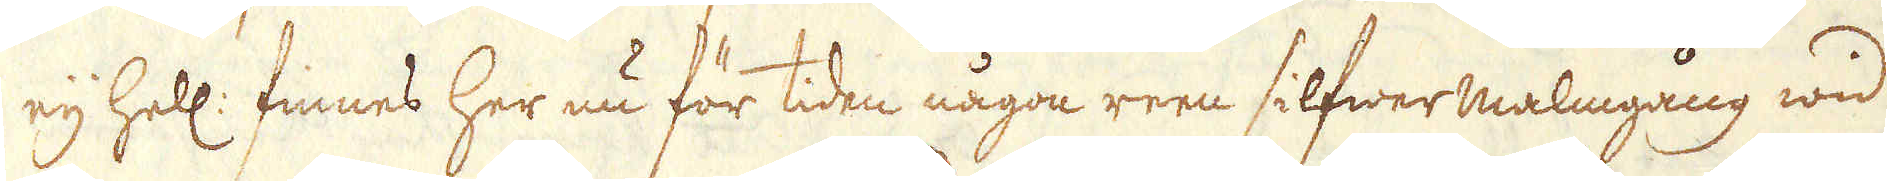eij hell: finnes her nu för tiden någon reen silfwermalmgång wid
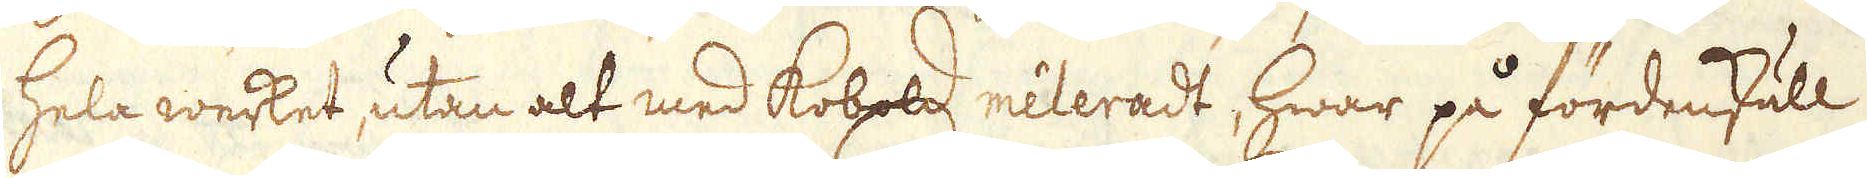hela werket, utan alt med Kobold méleradt, hwar på fördenskull
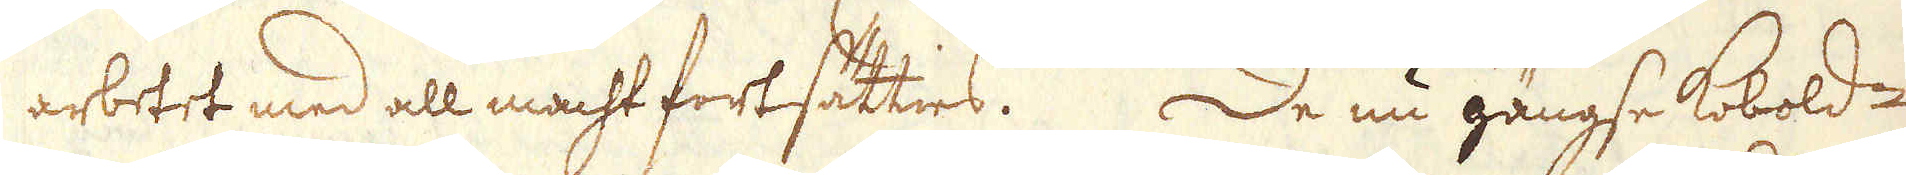arbetet med all macht fortsätties. De nu gängse Kobold-
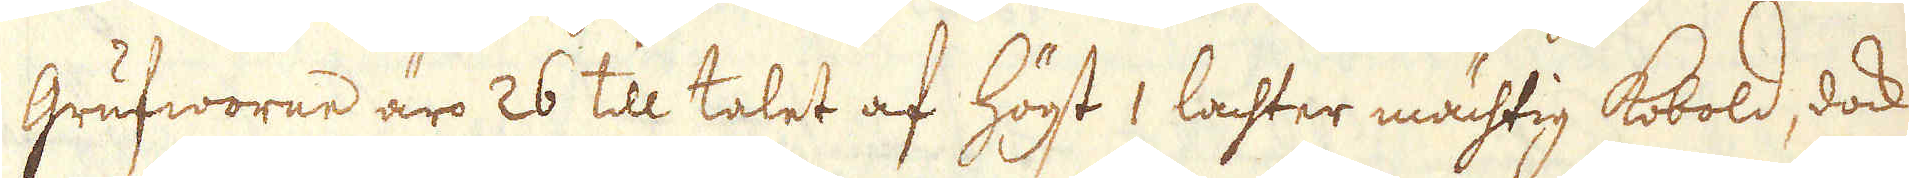Grufworne äro 26 till talet af högst 1 lachter mächtig Kobold, dock
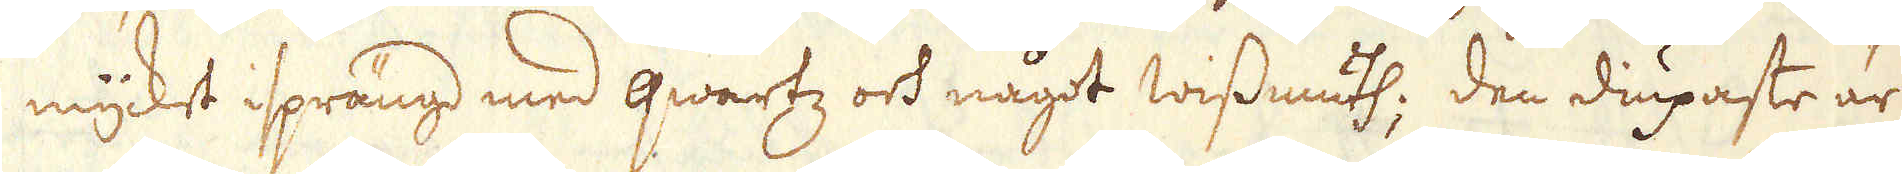mycket isprängd med qwartz och något wissmuth; den diupaste är
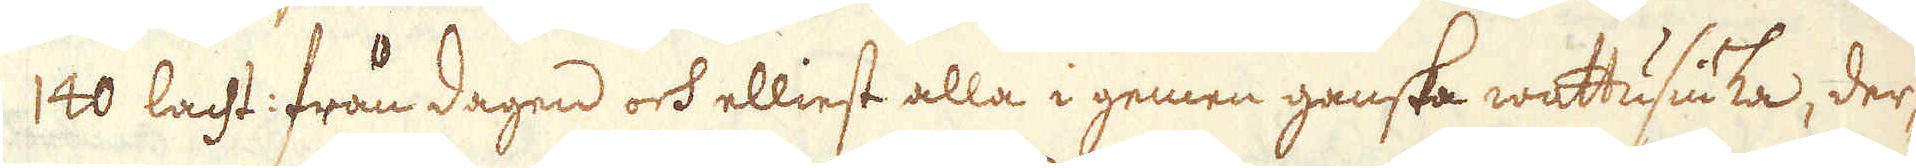140 lacht: från dagen och elliest alla i gemen ganska wattusiuka, der-
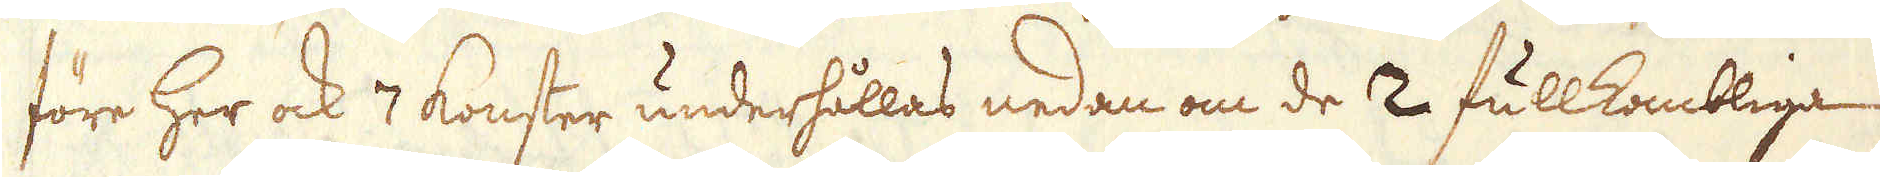före her ock 7 konster underhållas nedan om de 2 fullkombliga
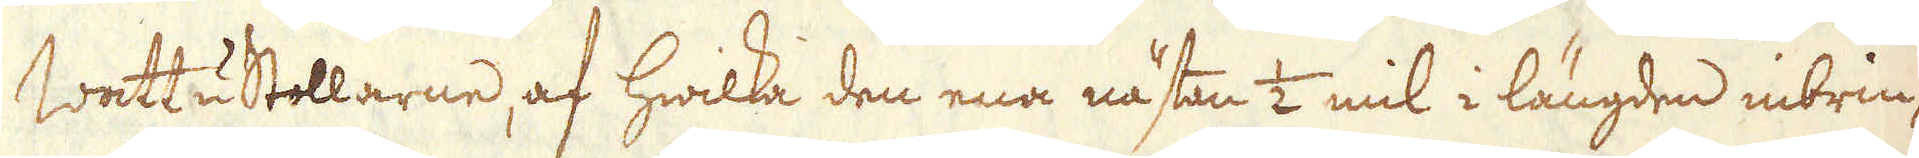Wattustollarne, af hwilka den ena nästan 1/2 mil i längden inbrin-
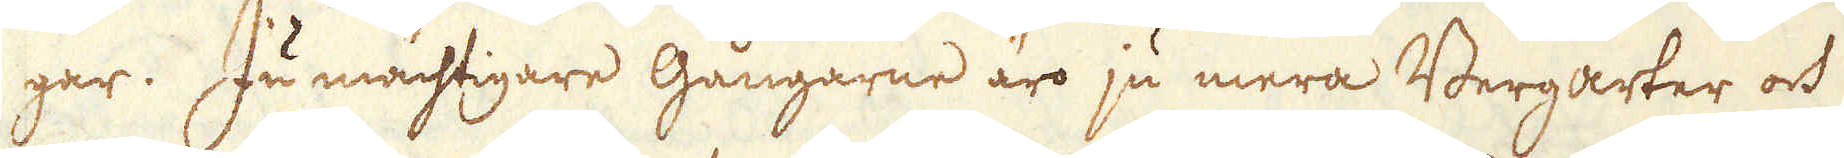gar. Ju mächtigare Gångarne äro ju mera Bergarter och
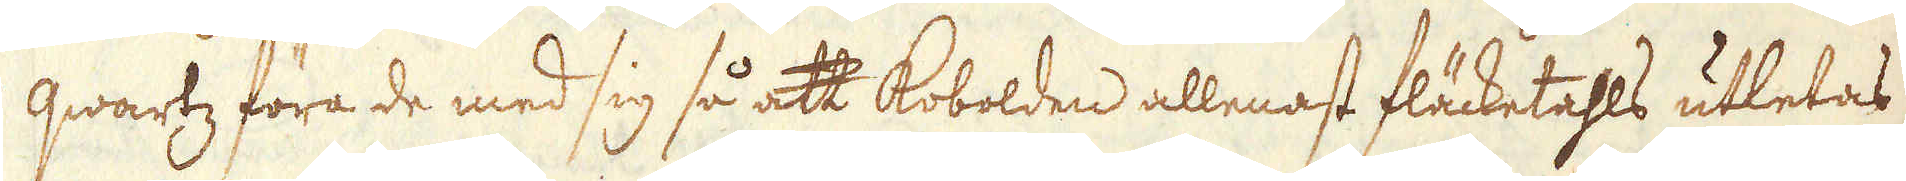qwartz föra de med sig så att Kobolden allenast fläcketahls utletas
